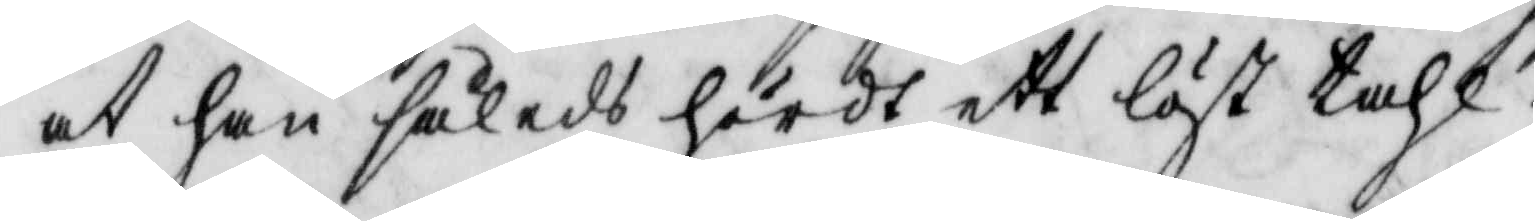at han således hördt ett löst tahl.
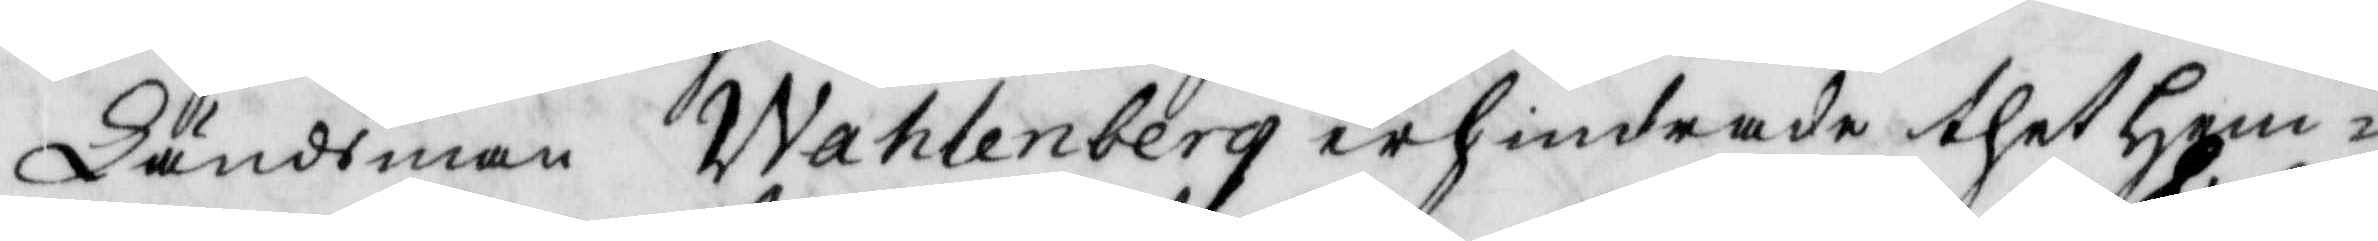Ländsman Wahlenberg erhindrade thet Hem¬
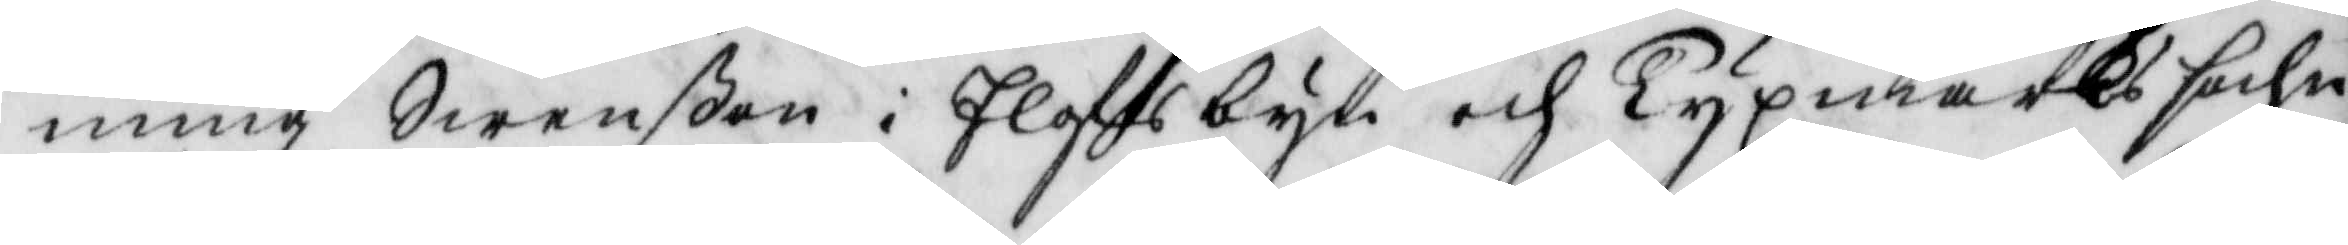ming Swenßon i Elofsbyn och Tyxmarks sochn
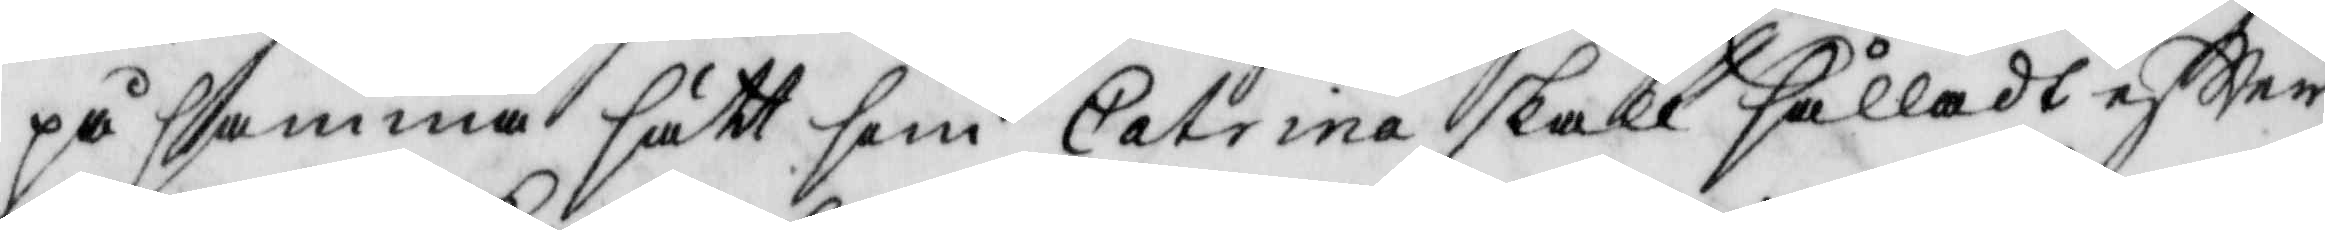på samma sätt som Catrina skall sålladt eftter
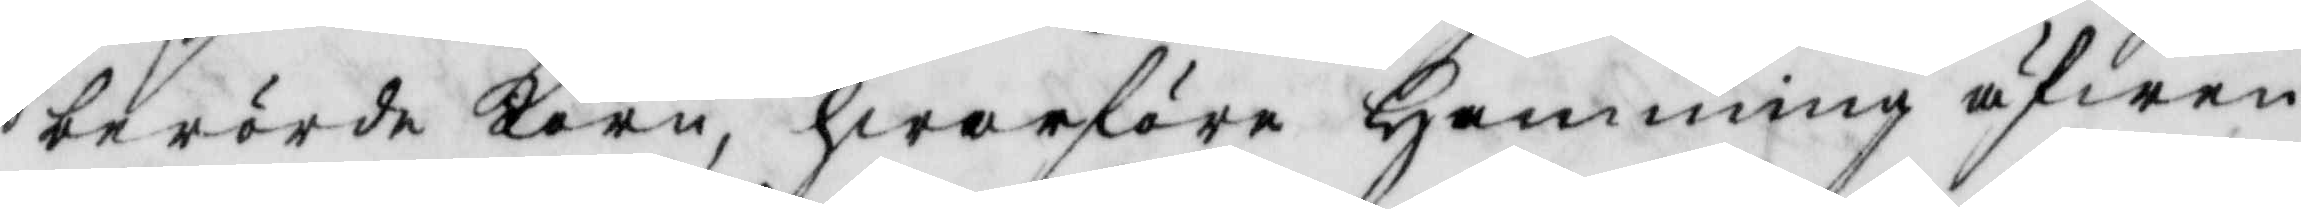berörde Korn, hwarföre Hemming äfwen
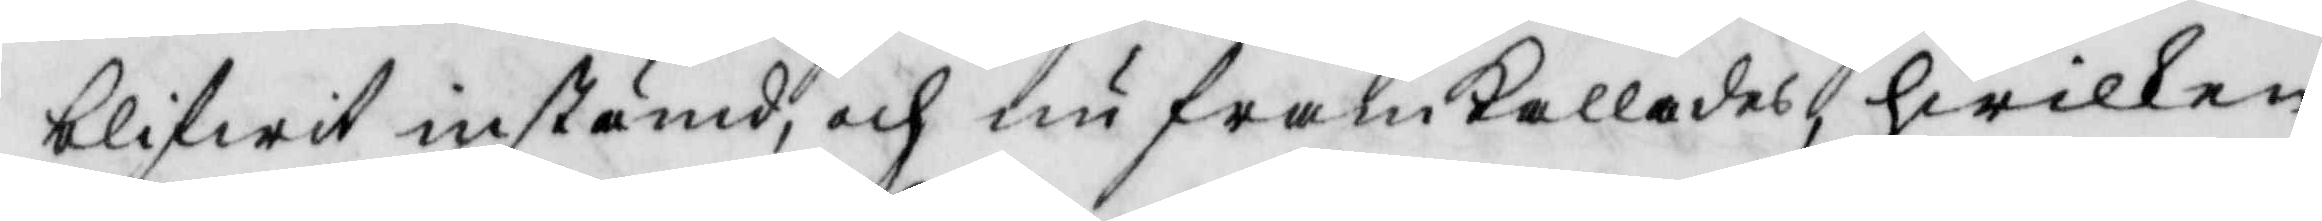blifwit instämd, och nu framkallades, hwilken
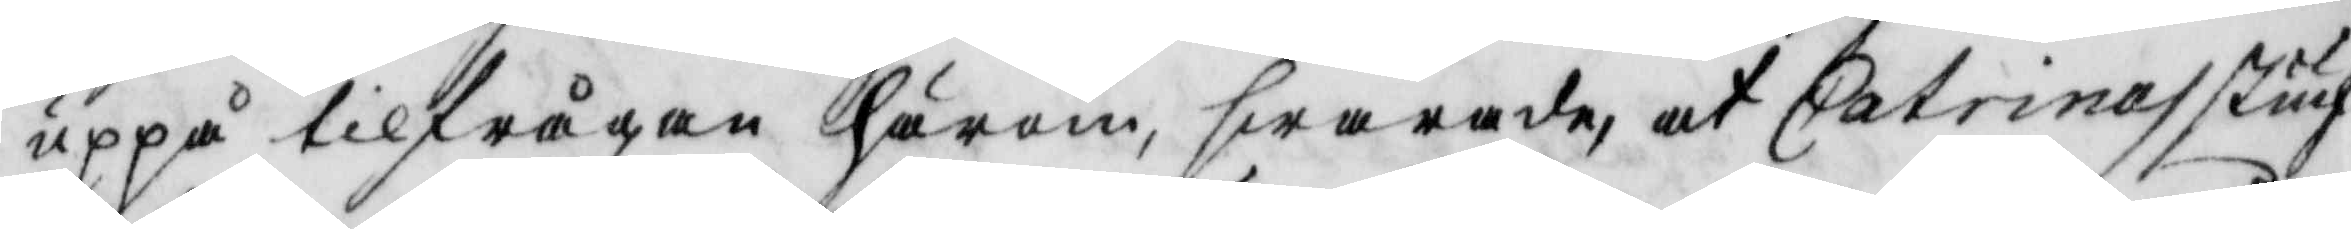uppå tilfrågan härom swarade, at Catrinas Stuf¬
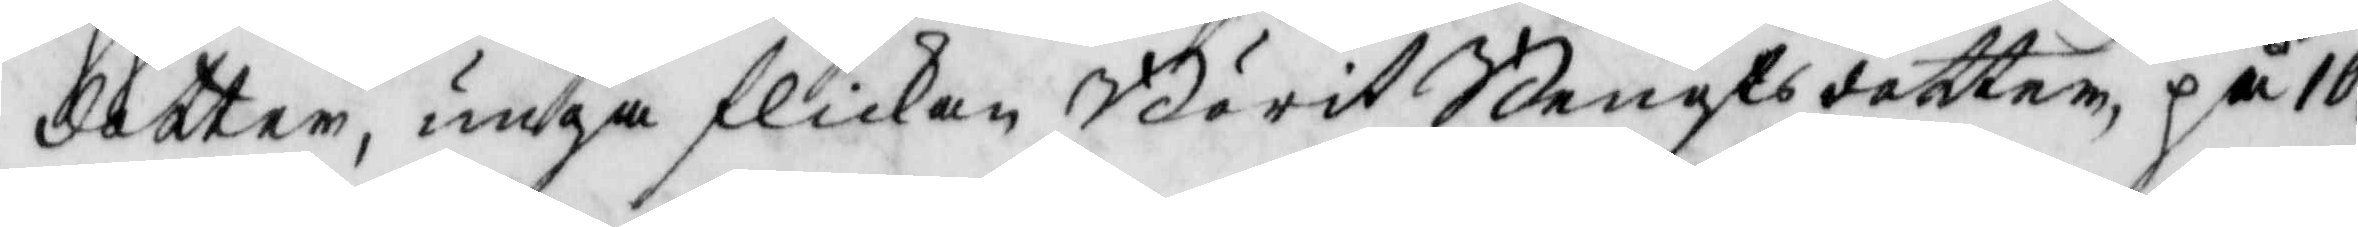dotter, unga flikan Börit Bengtsdotter, på 10
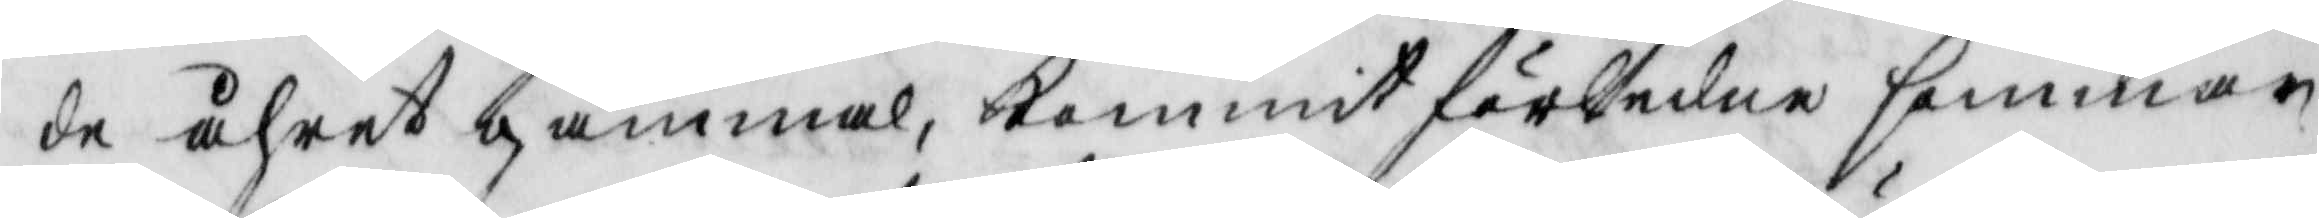de åhret gammal kommit förledne sommar
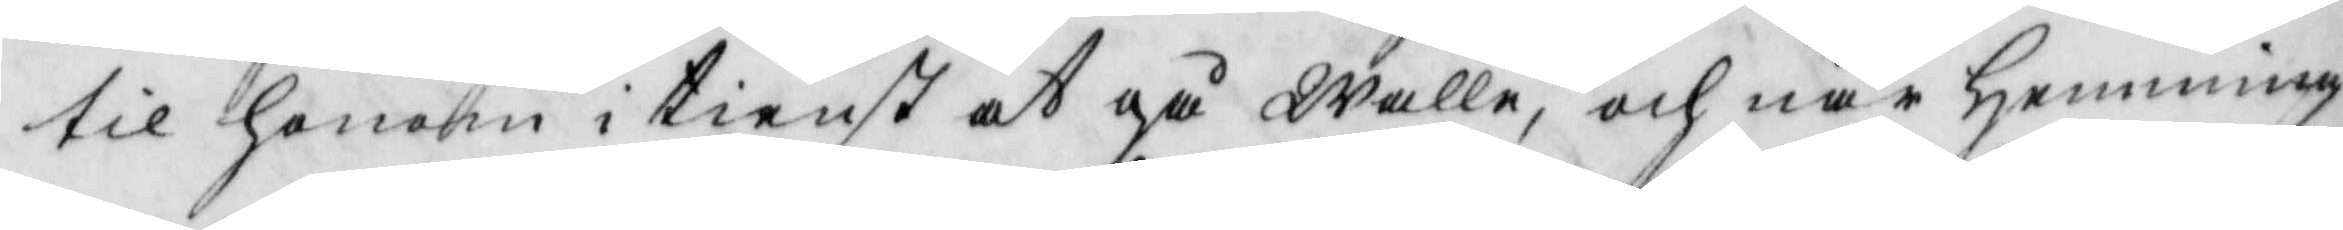til honom i tienst at gå walla, och när Hemming
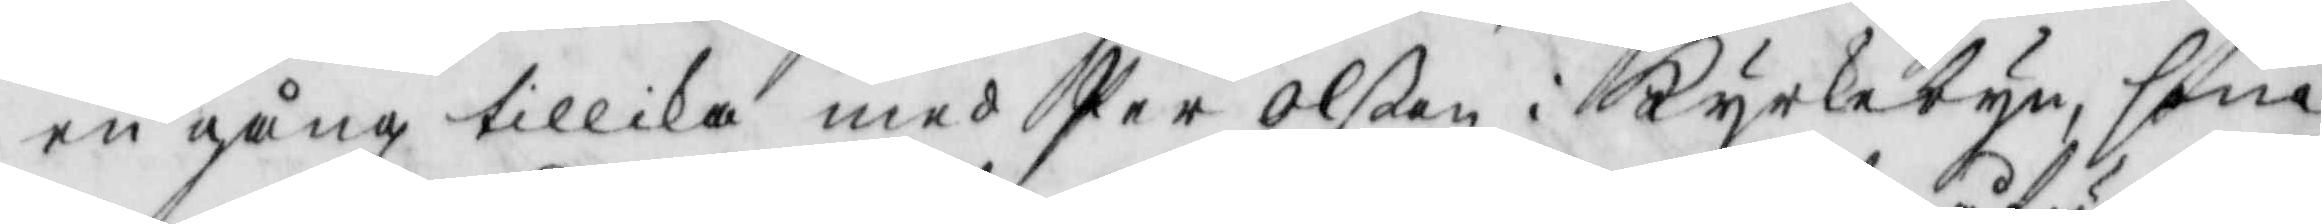en gång tillika med Per Olßon i Kyrkebyn, som
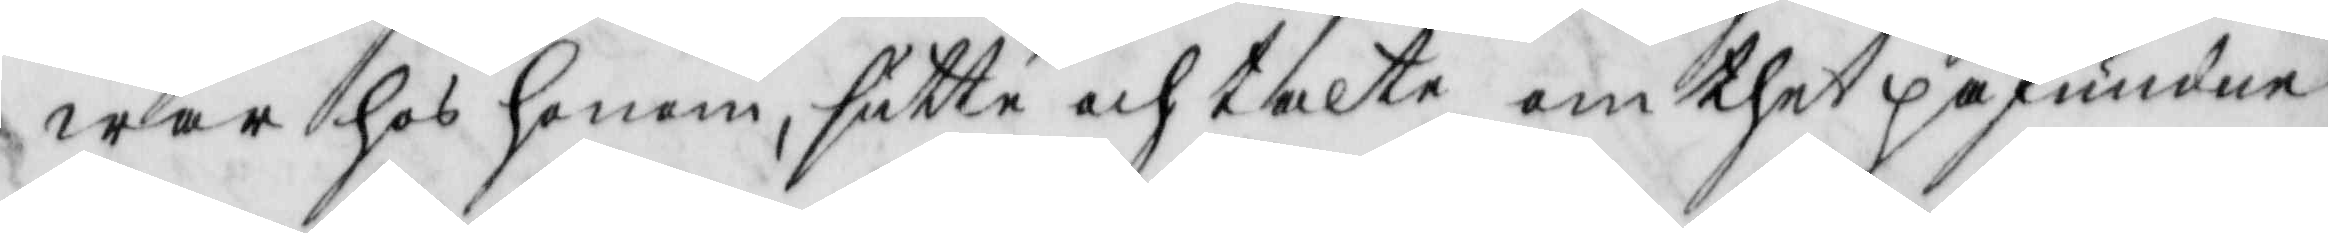war hos honom, sutte och talte om thet påfundne
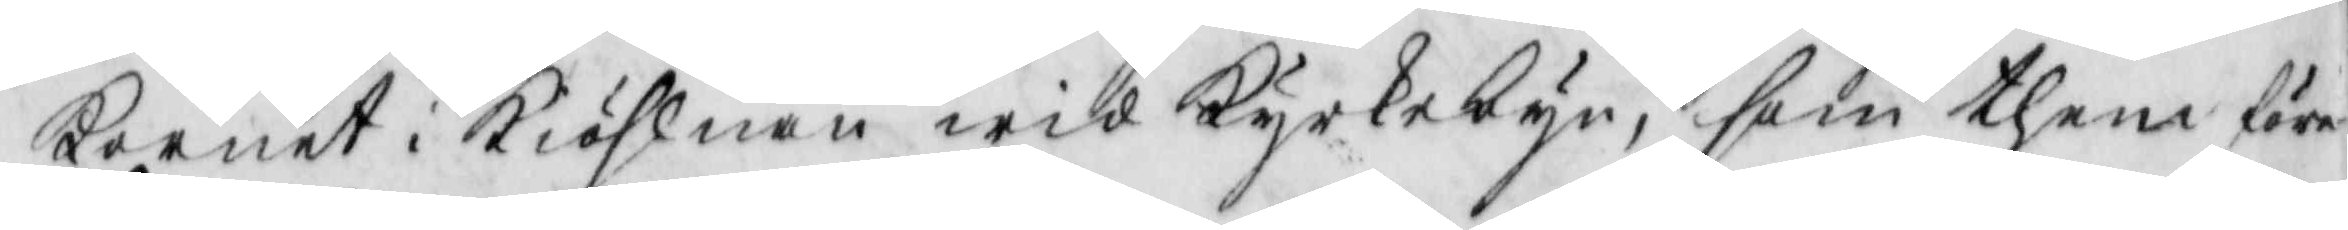Kornet i Kiöhlnan wid Kyrkebyn, som them före¬
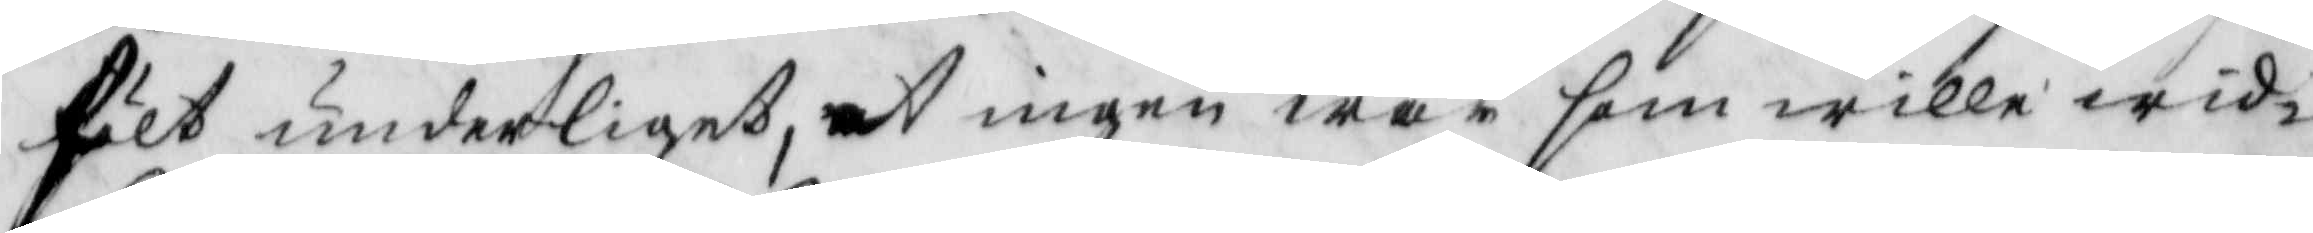hölt underliget, at ingen war som wille wid¬
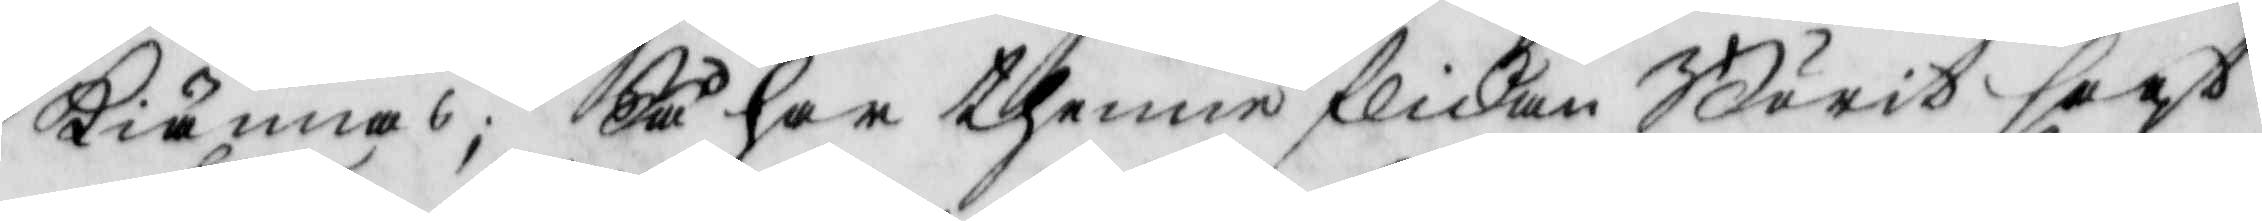kiännas; Så har thenne flickan Börit sagt
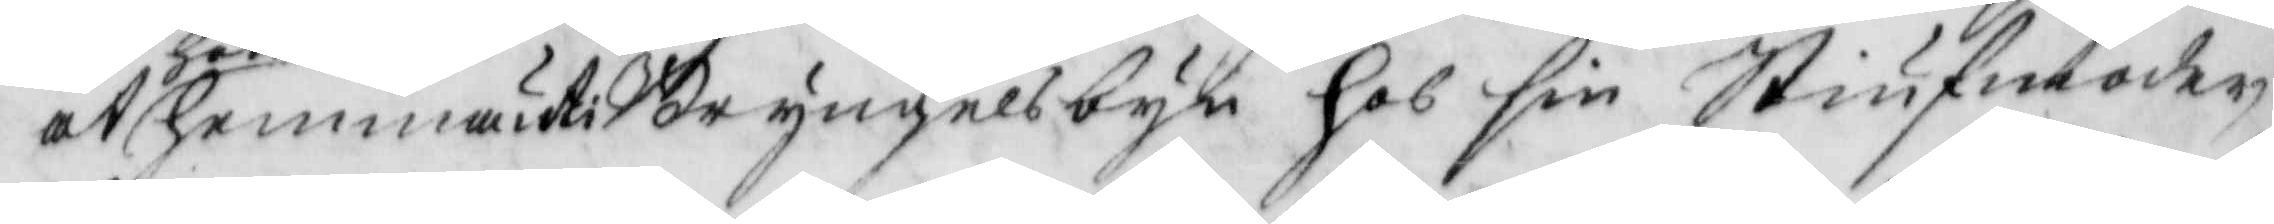at hon hemma uti Bryngelsbyn hos sim Stiufmoder
